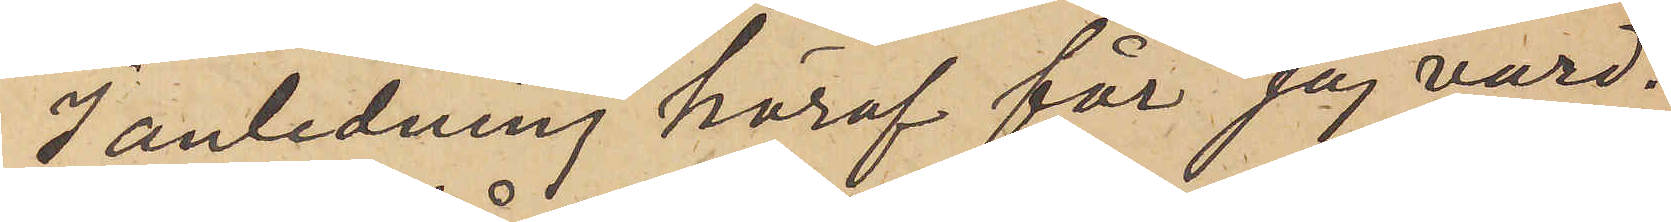I anledning häraf får jag vörd¬
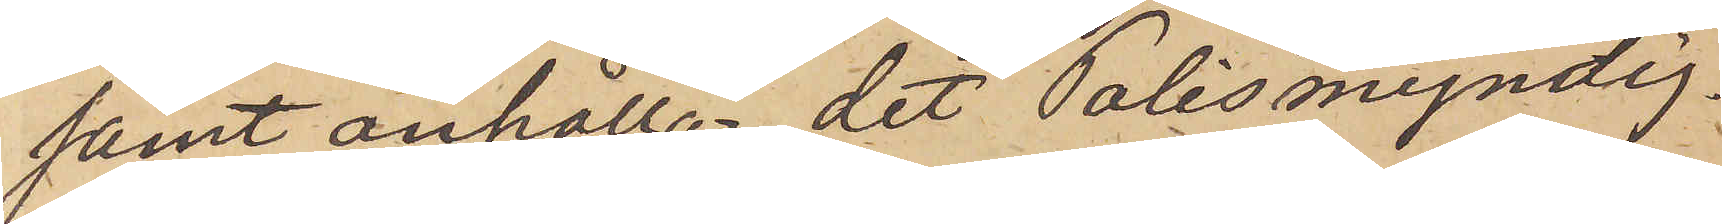samt anhålla, det Polismyndig¬
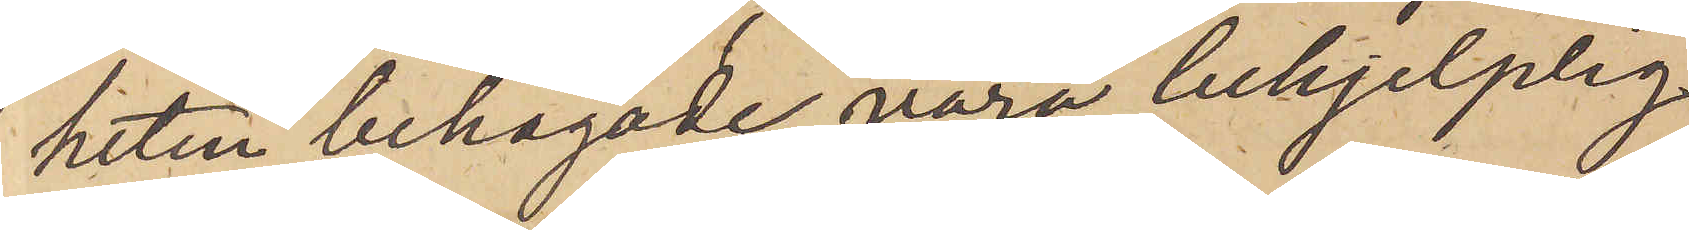heten behagade vara behjelplig
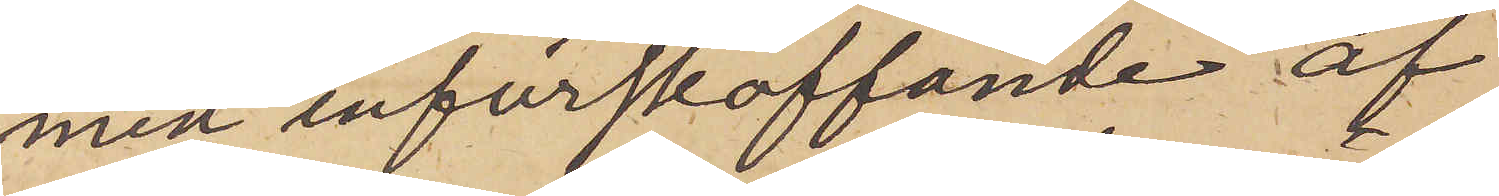med införskaffande af
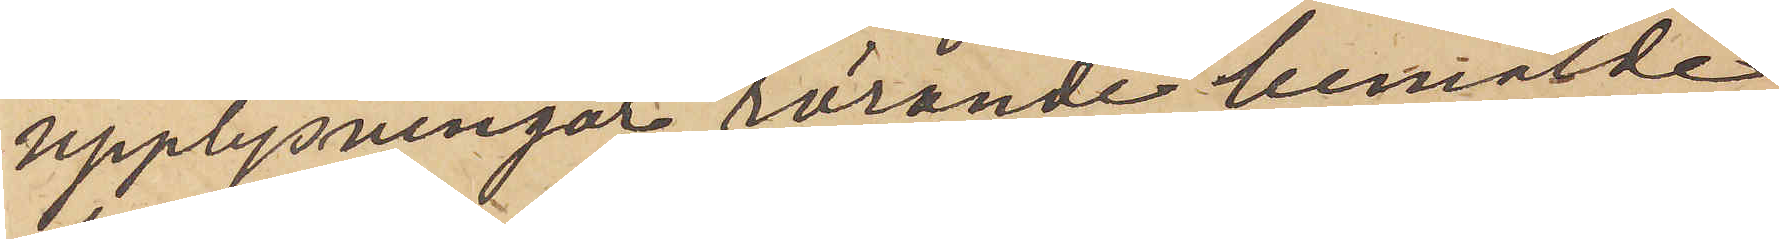upplysningar rörande bemälde
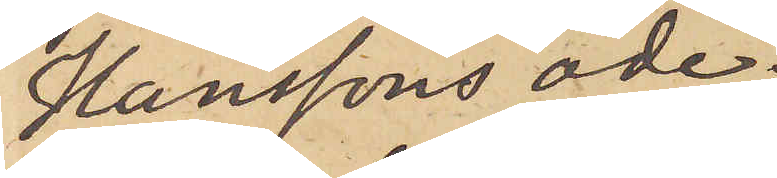Hanssons öde.
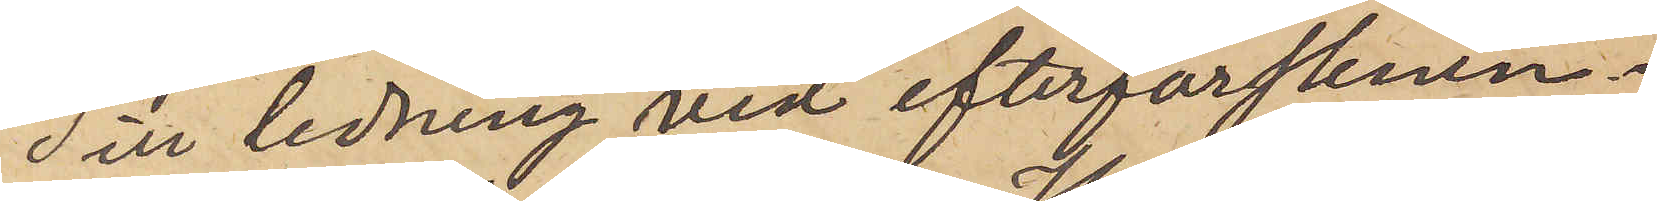Till ledning vid efterforsknin¬
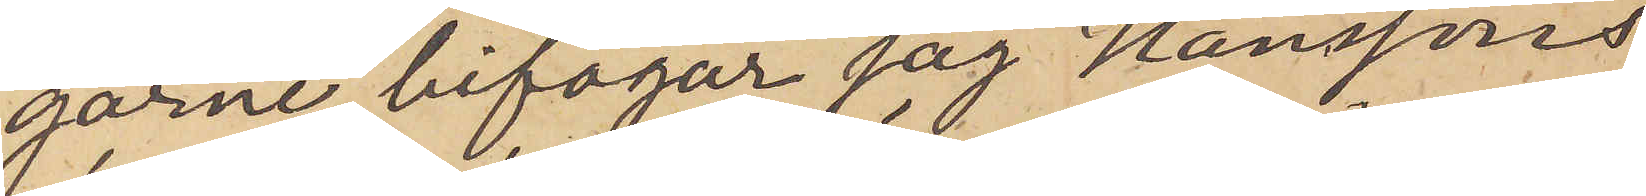garne bifogar jag Hanssons
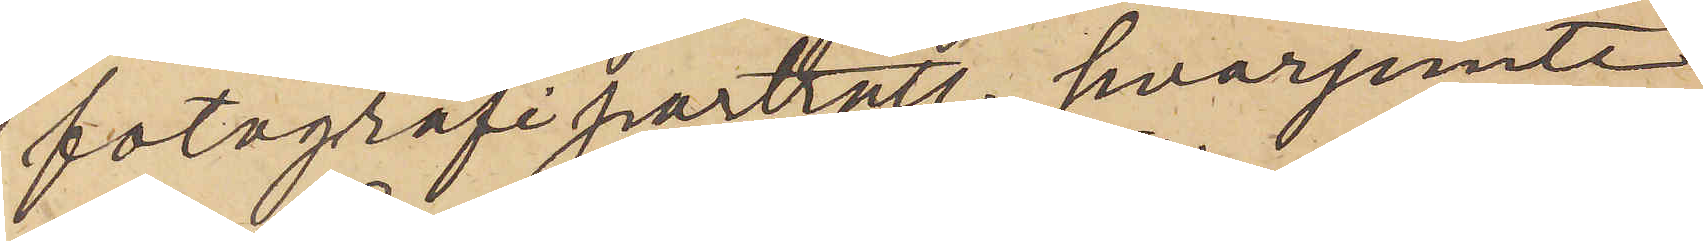fotografiporträtt, hvarjemte
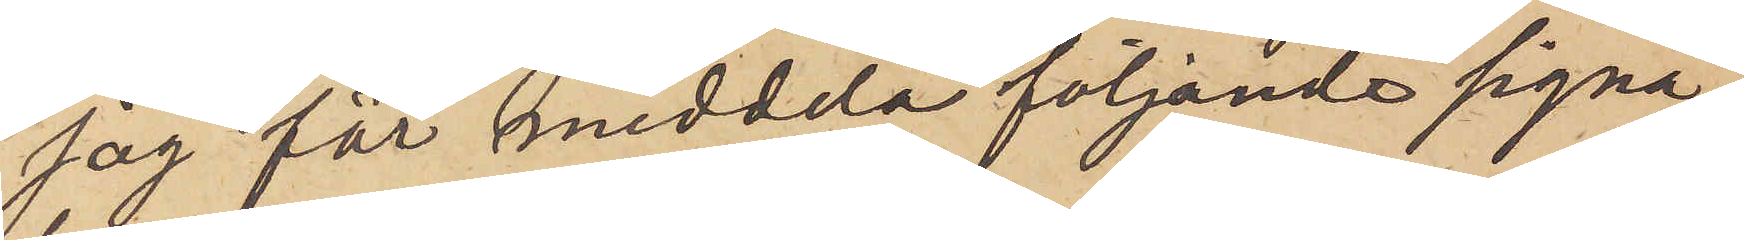jag får meddela följande signa¬
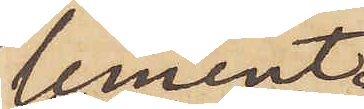lement:
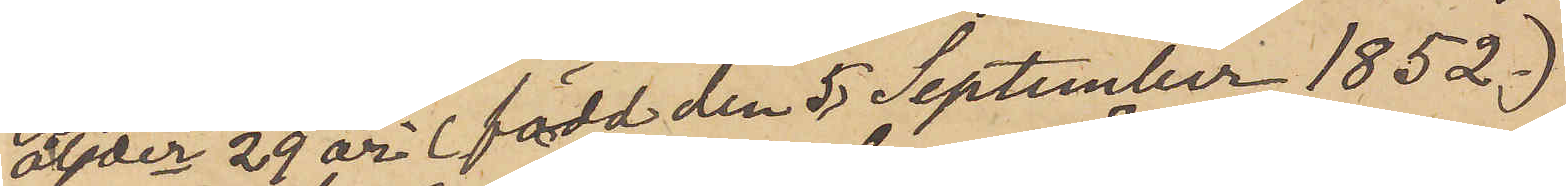ålder 29 år (född den 5 September 1852)
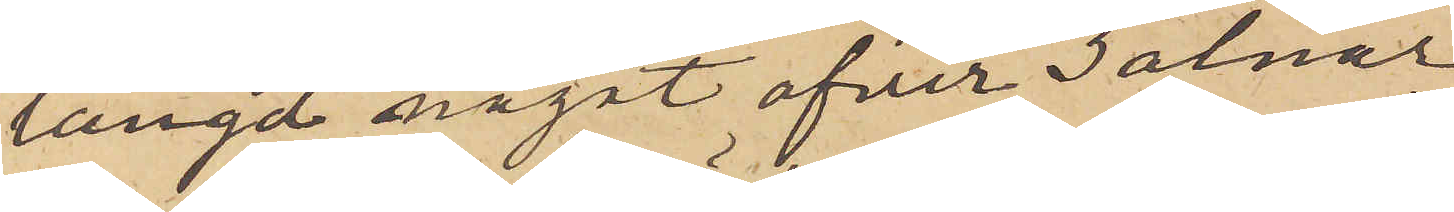längd något öfver 3 alnar
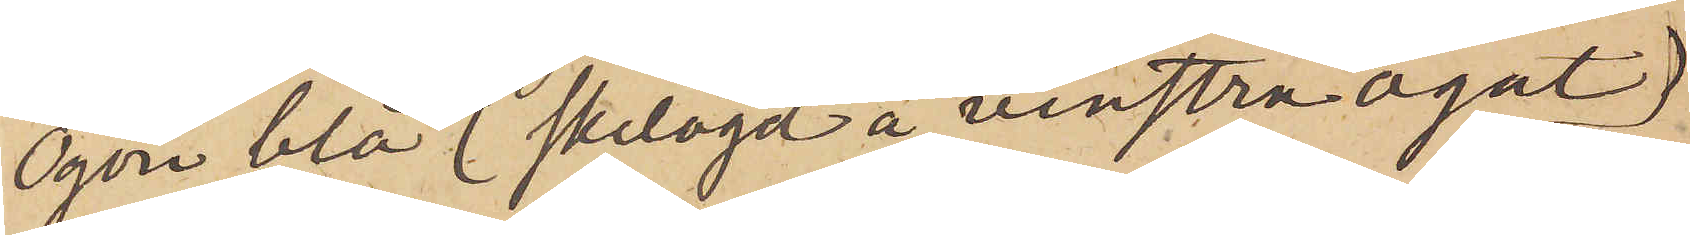ögon blå (skelögd å venstra ögat)
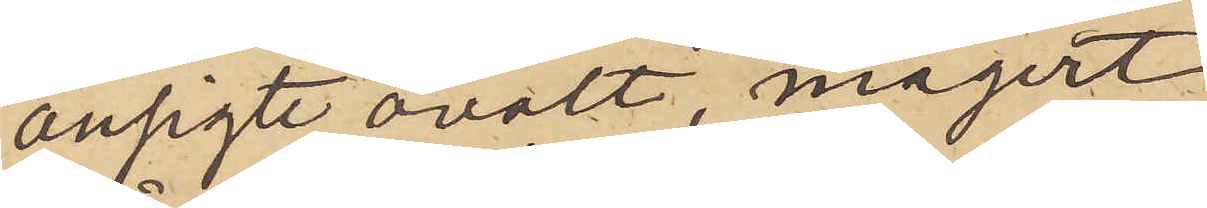ansigte ovalt, magert,
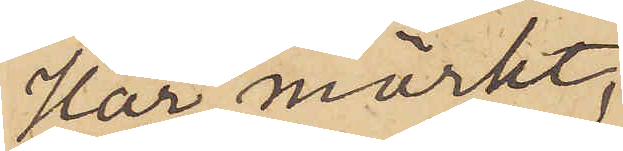Hår mörkt,
